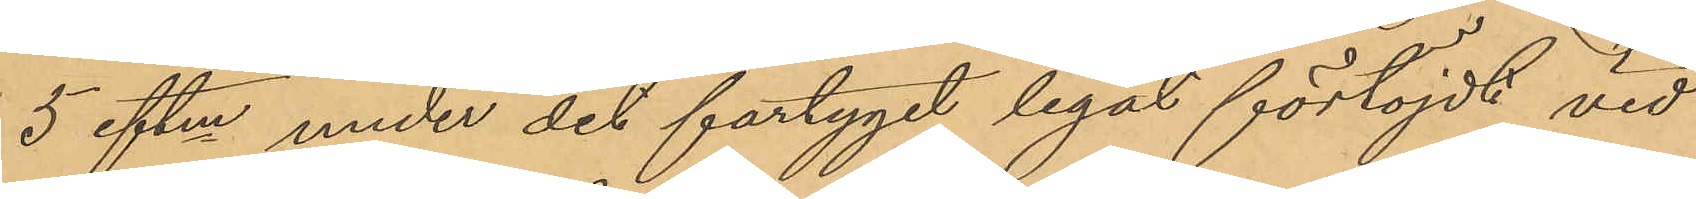5 eftm under det fartyget legat förtöjdt vid
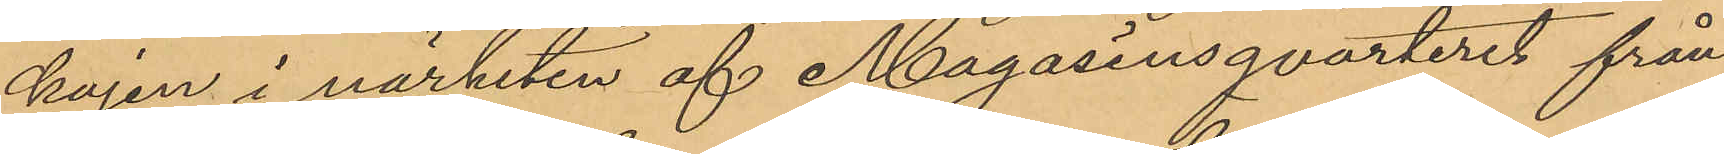kajen i närheten af Magasinsqvarteret från
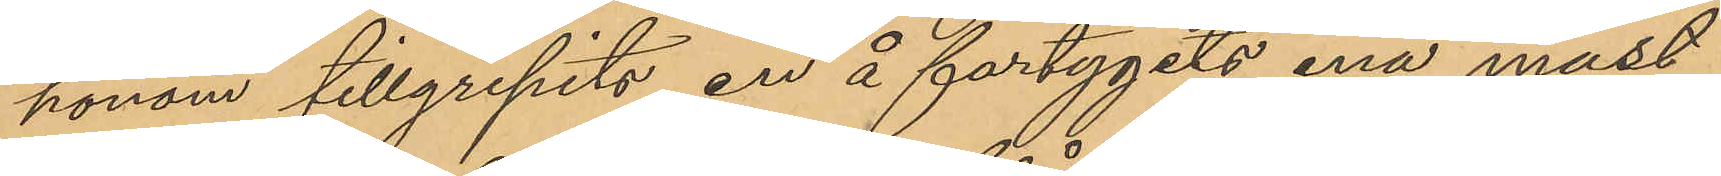honom tillgripits en å fartygets ena mast
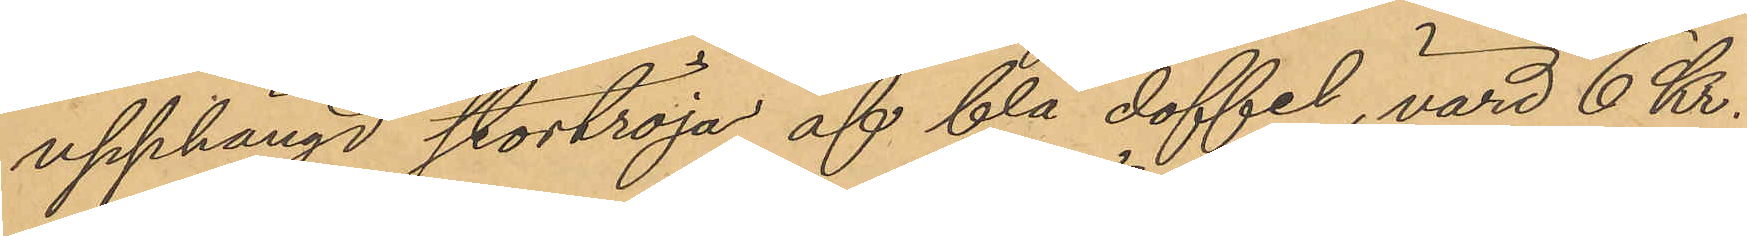upphängd stortröja af blå doffel, värd 6 Kr.
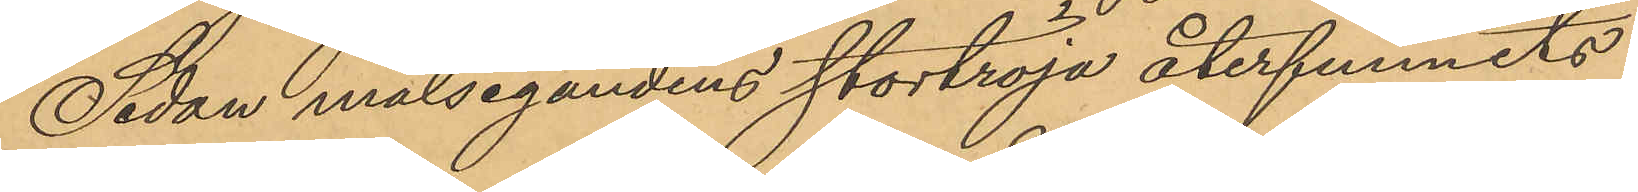Sedan målsegandens stortröja återfunnits
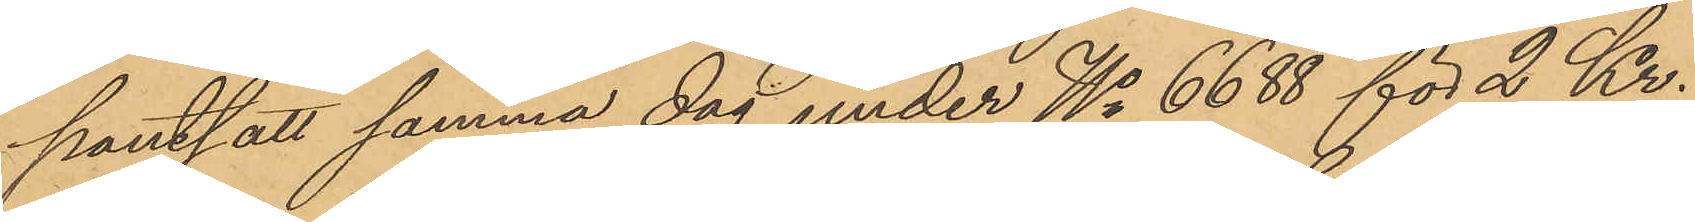pantsatt samma dag under No 6688 för 2 Kr.
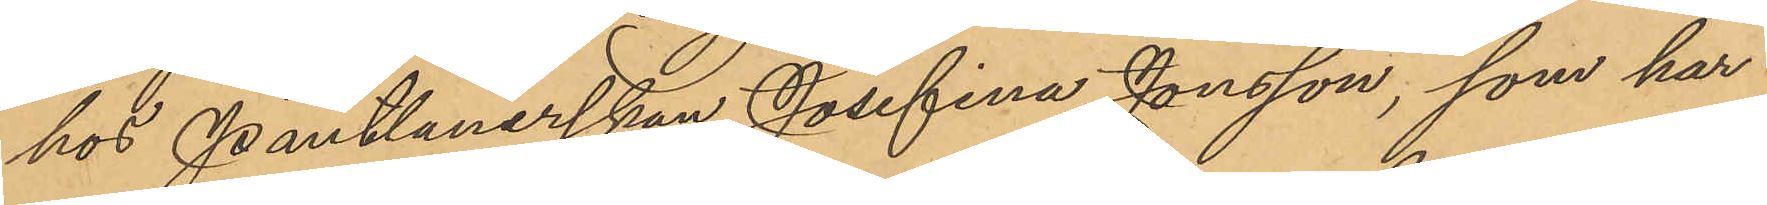hos Pantlånerskan Josefina Jonsson, som har
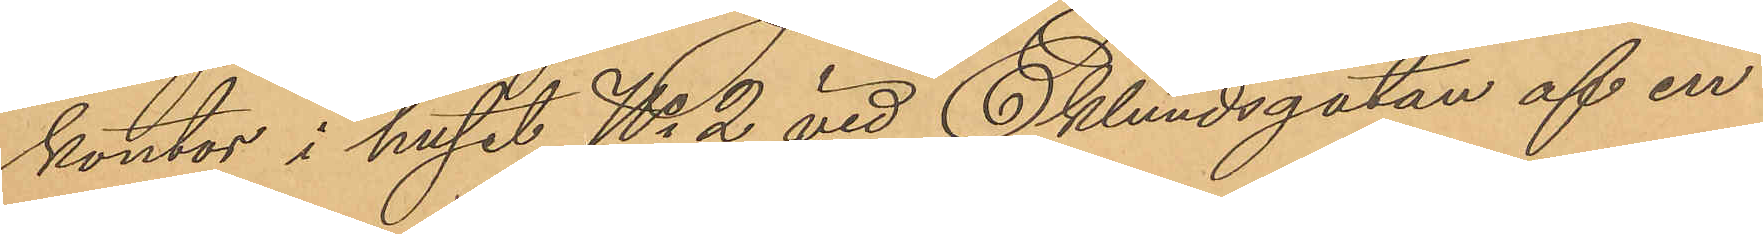kontor i huset No 2 vid Eklundsgatan af en
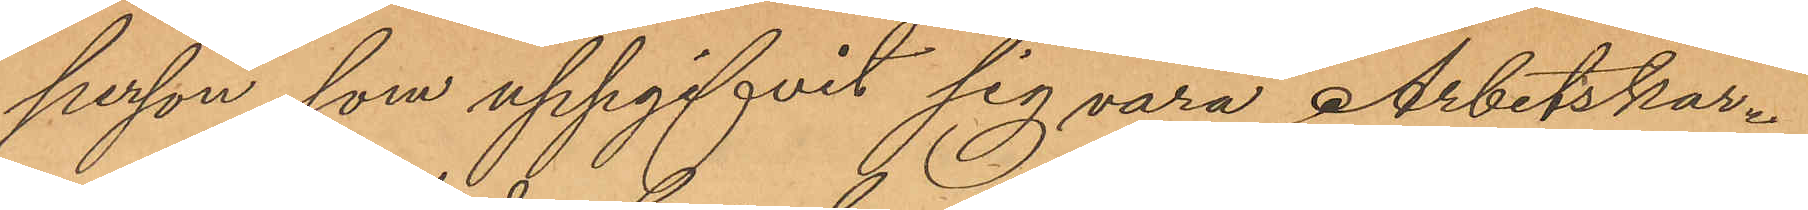person, som uppgifvit sig vara Arbetskar¬
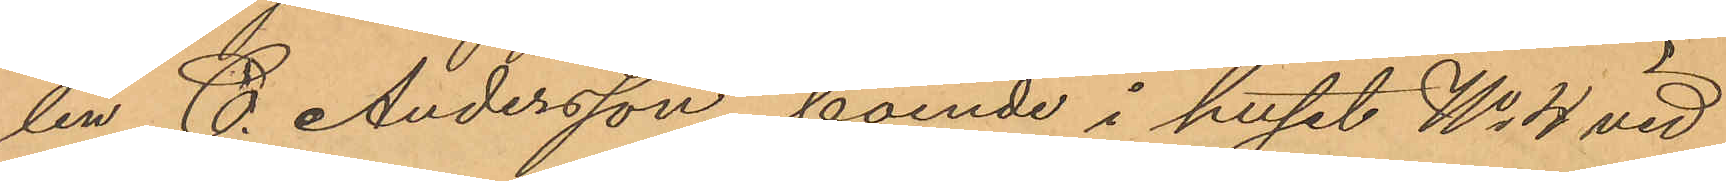len C. Andersson, boende i huset No 4 vid
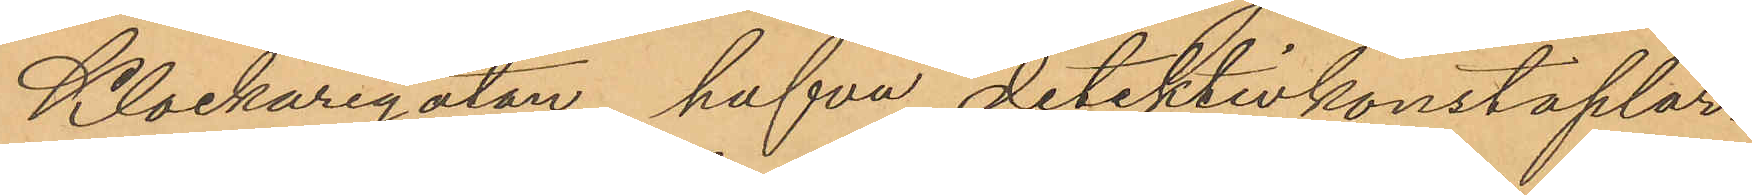Klockaregatan, hafva detektivkonstaplar¬
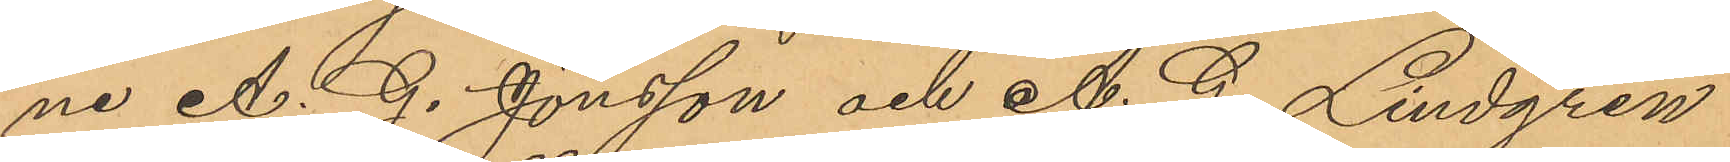ne A. G. Jönsson och A. G. Lindgren
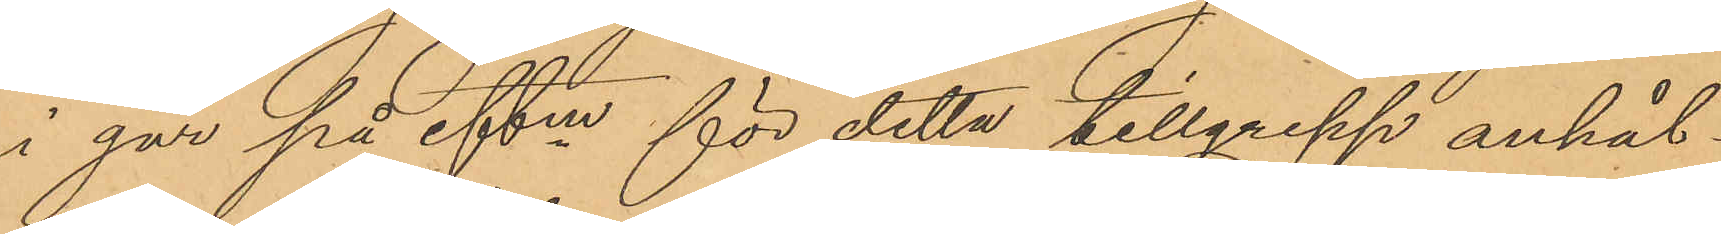i går på eftm för detta tillgrepp anhål¬
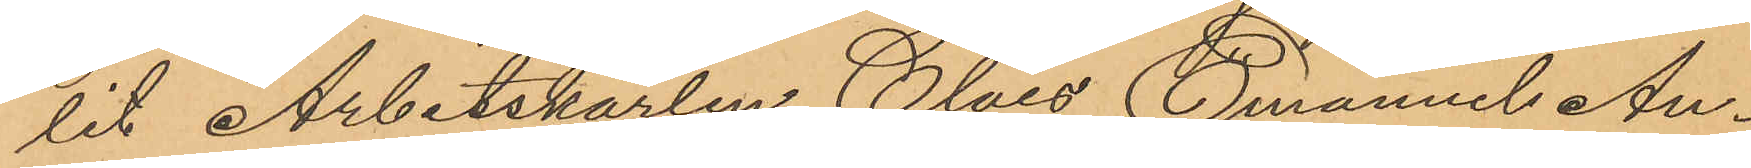lit Arbetskarlen Claes Emanuel An¬
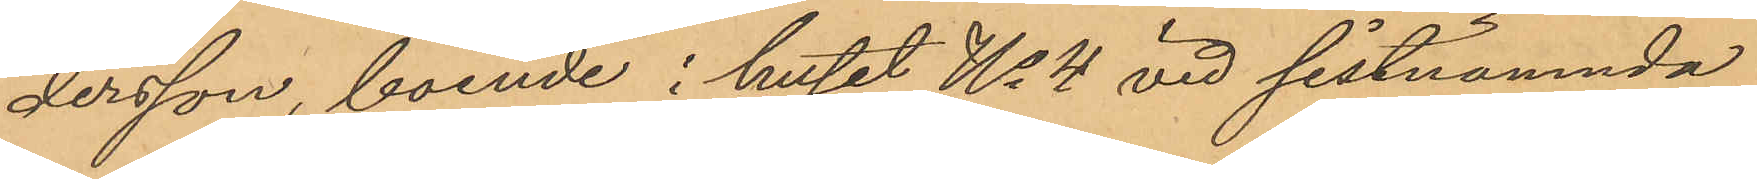dersson, boende i huset No 4 vid sistnämnda
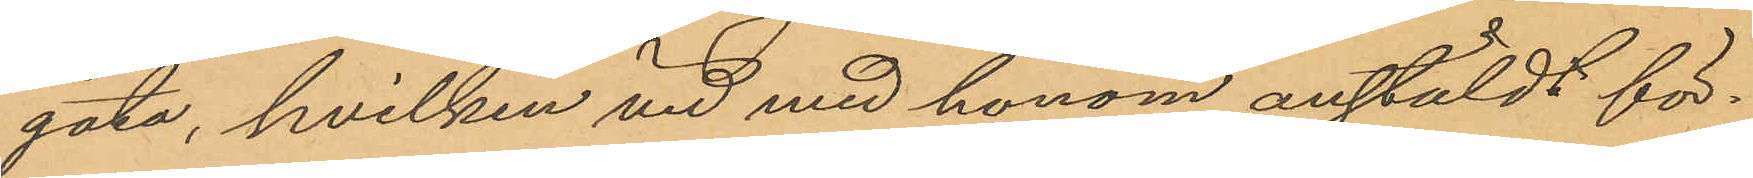gata, hvilken vid med honom anstäldt för¬
